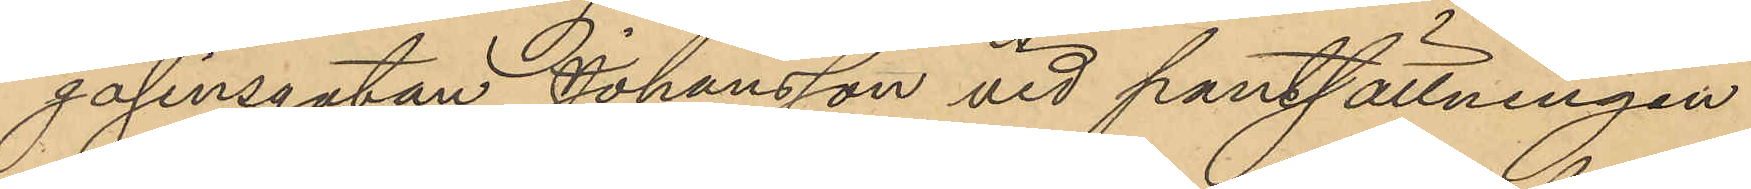gasinsgatan, Johansson vid pantsättningen
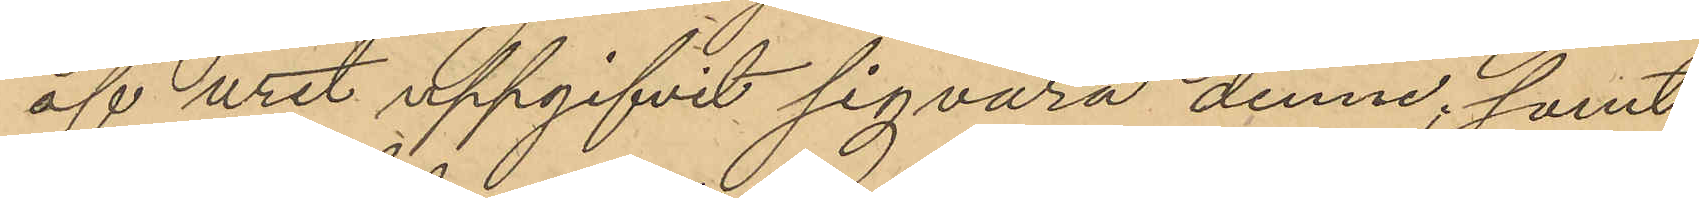af uret uppgifvit sig vara denne; samt
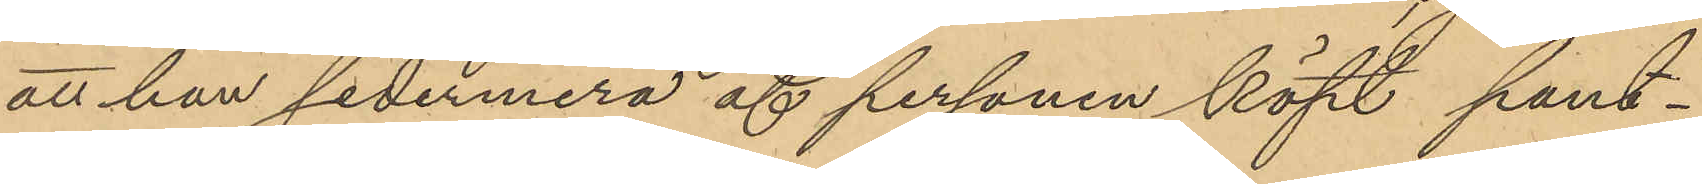att han sedermera af personen köpt pant¬
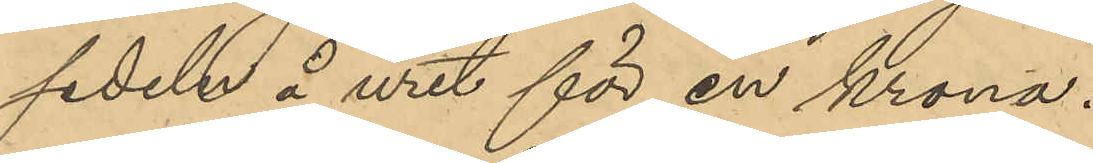sedeln å uret för en krona.
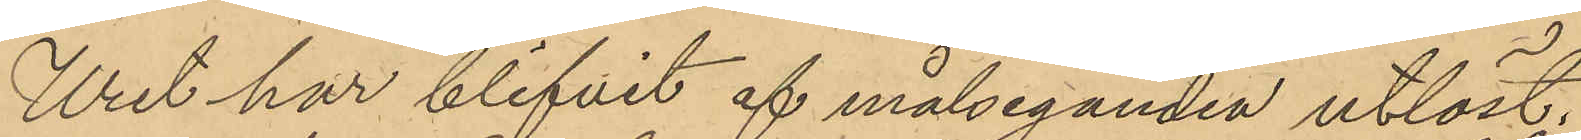Uret har blifvit af målseganden utlöst.
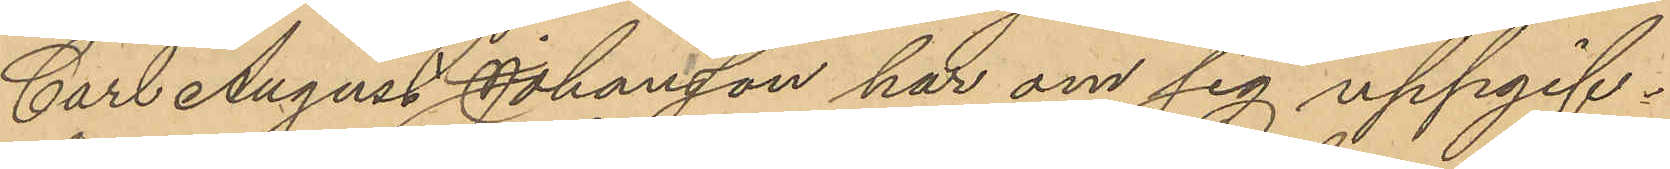Carl August Johansson har om sig uppgif¬
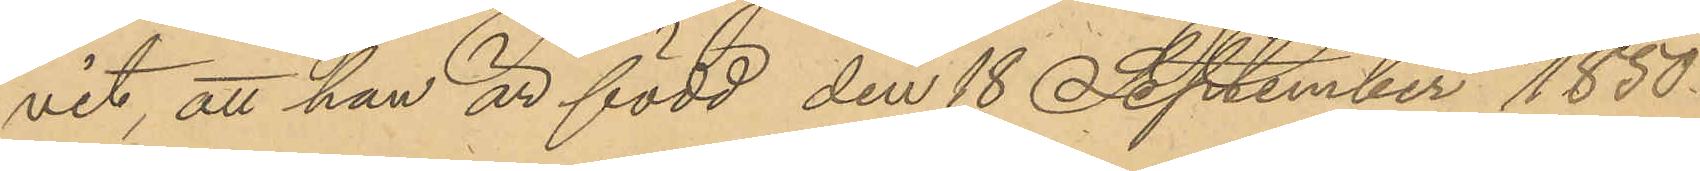vit, att han är född den 18 September 1850
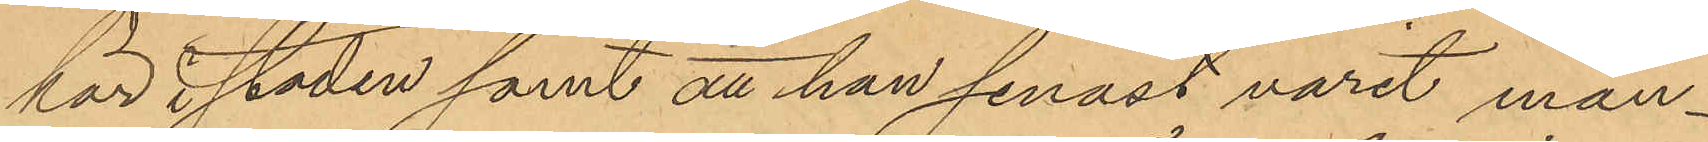här i staden samt att han senast varit man¬
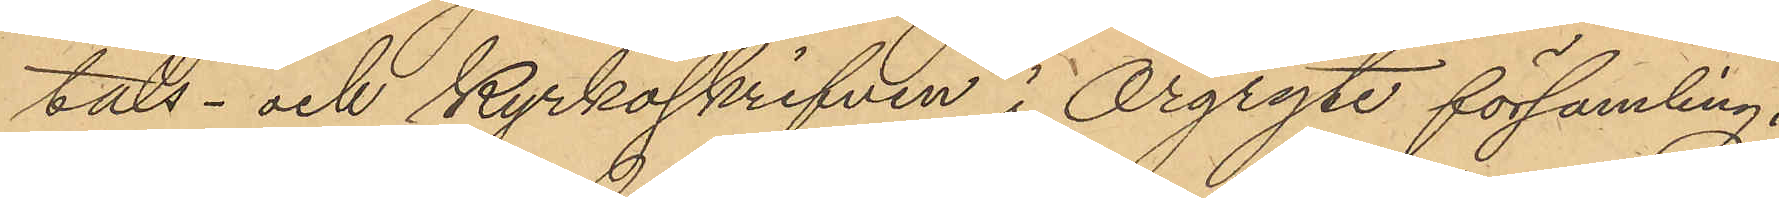tals- och kyrkoskrifven i Örgryte församling.
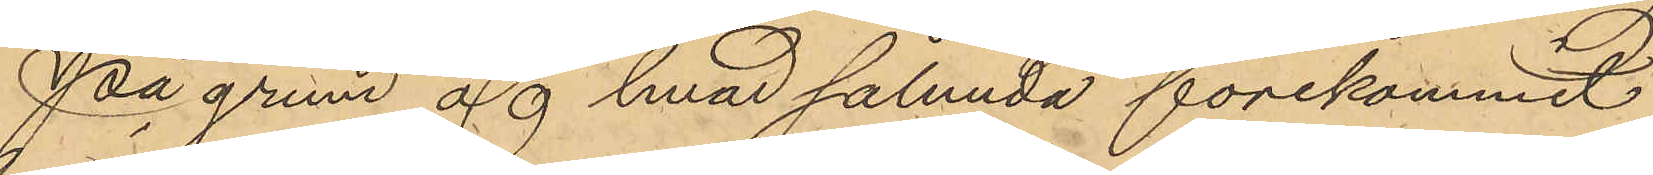På grund af hvad sålunda förekommit
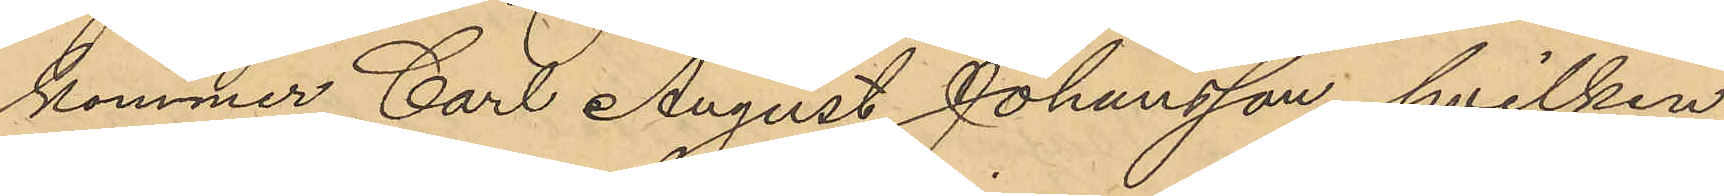kommer Carl August Johansson, hvilken
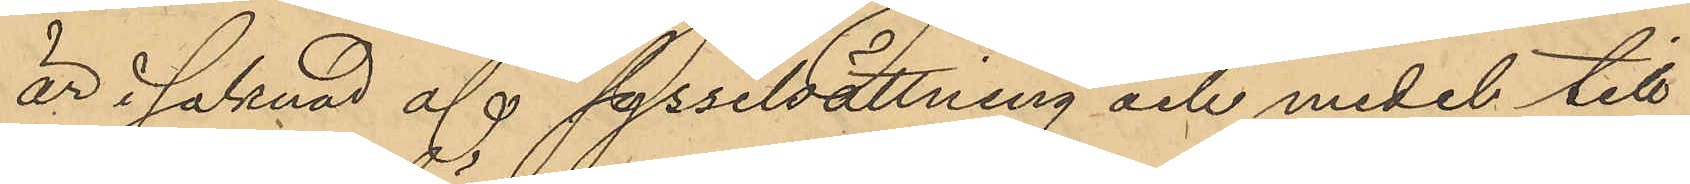är i saknad af sysselsättning och medel till
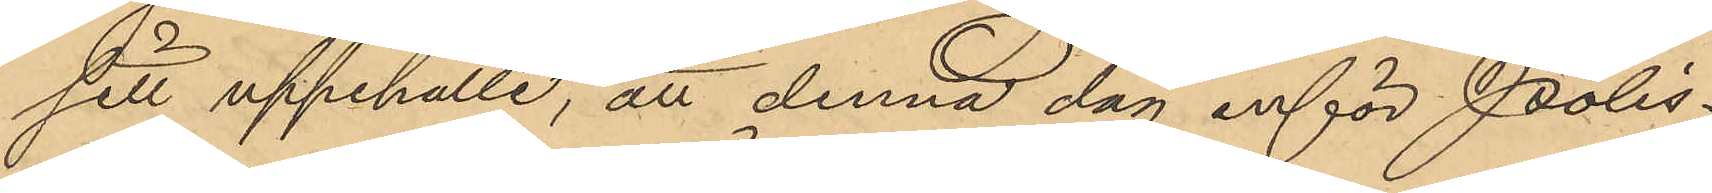sitt uppehälle, att denna dag inför Polis¬
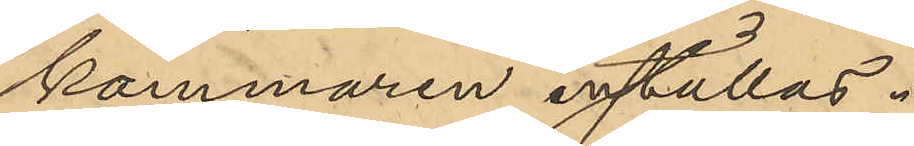kammaren inställas.
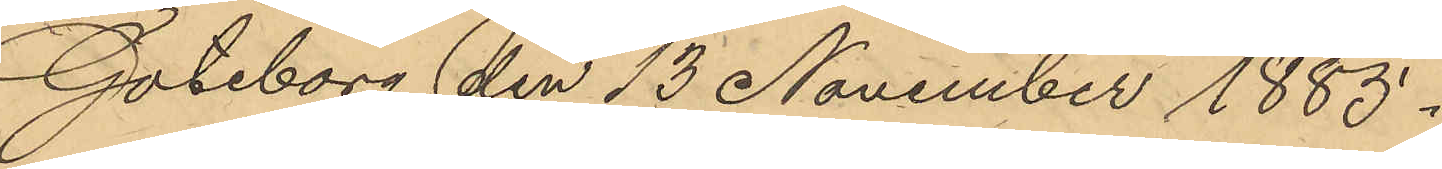Göteborg den 13 November 1885.
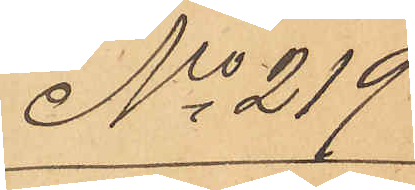No 219
